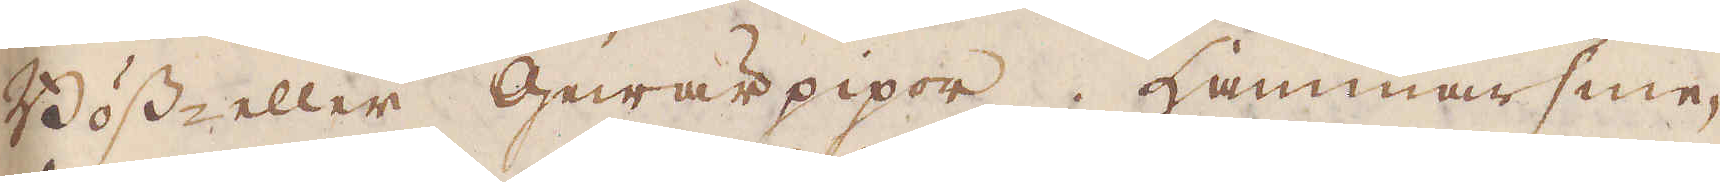Böss- eller Gewär pipor. Hammarsme-
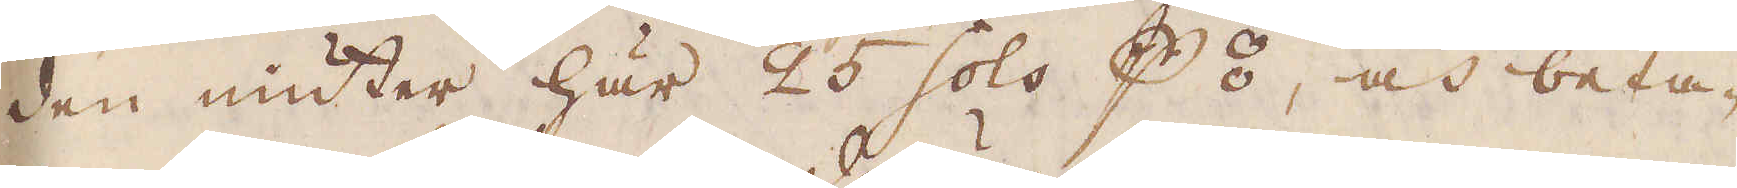den niuter här 25 sols p⦂, och beta-
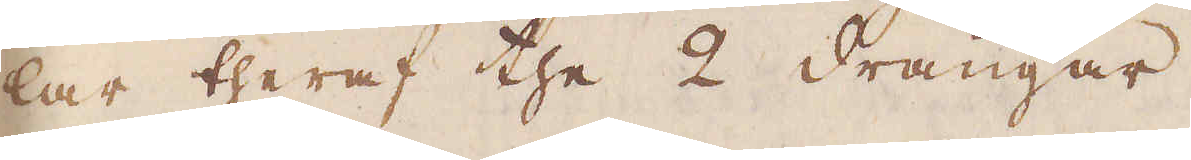lar theraf the 2 drängar.
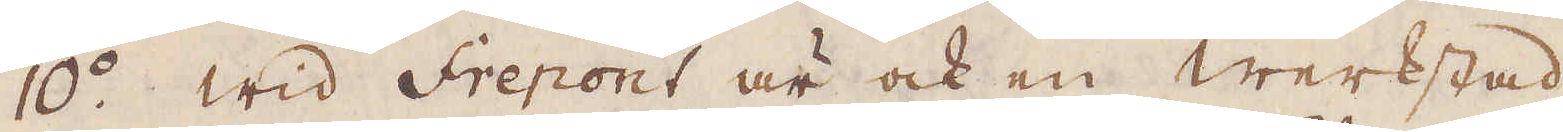10:o. Wid Frepont är ock en Werkstad.
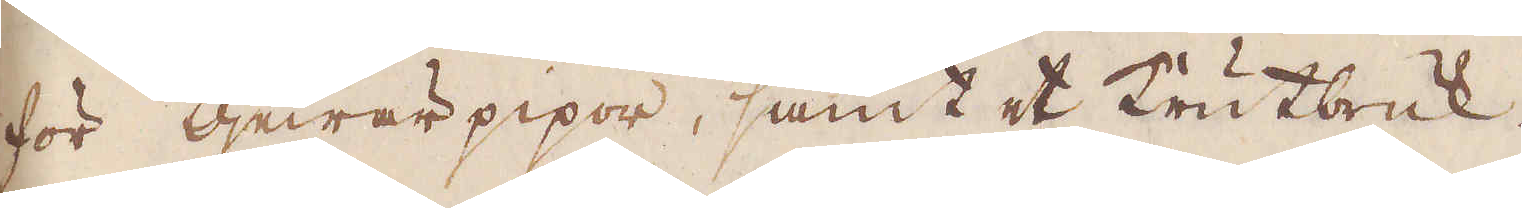för Gewärpipor, samt et Trutbruk.
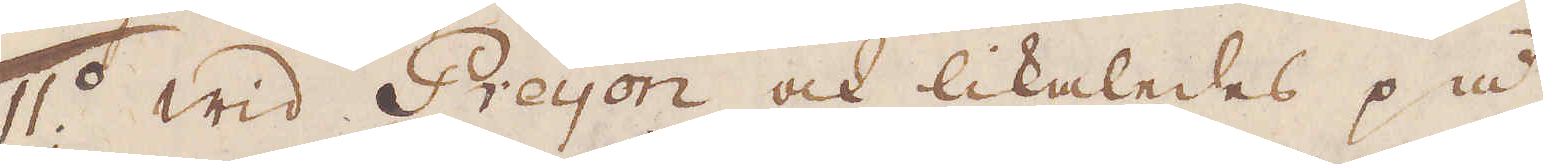11:o Wid Preyon och likaledes på
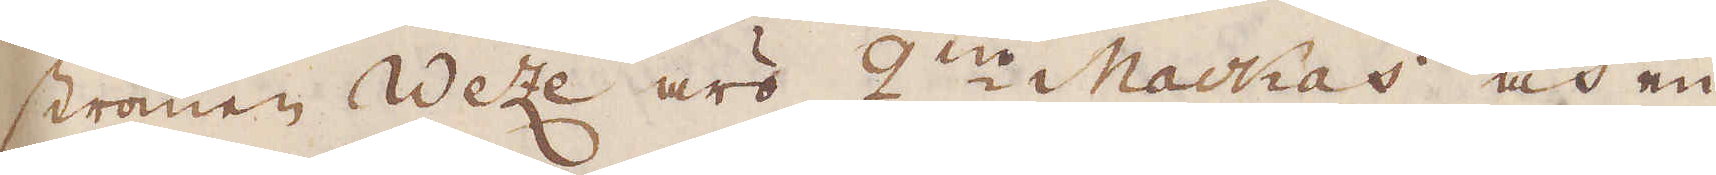strömen Weze äro 2:ne Mackas och en
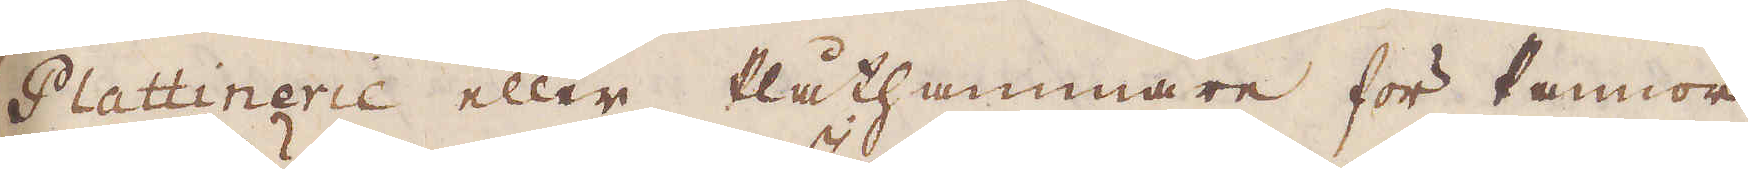Plattinerie eller Plåthammare för Pannor
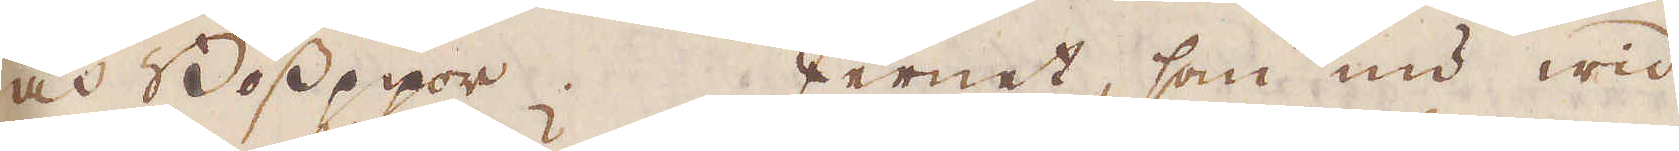och Bösspipor. Jernet, som nu wid
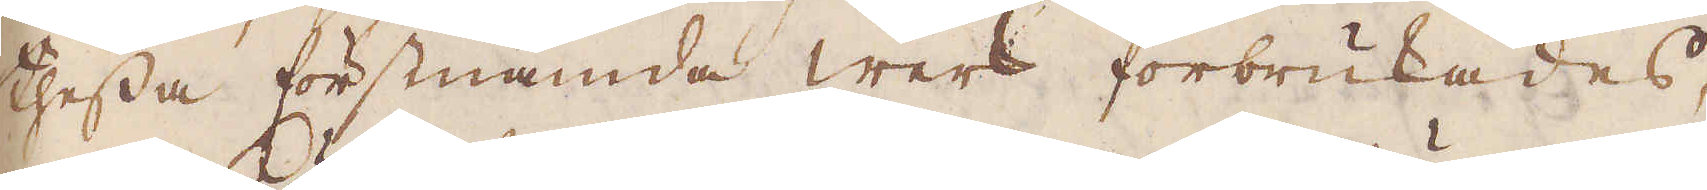thessa förstnämde werk förbrukades,
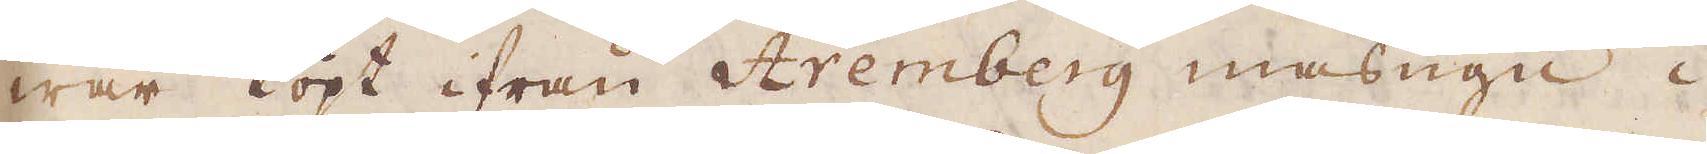war köpt ifrån Aremberg masugn i
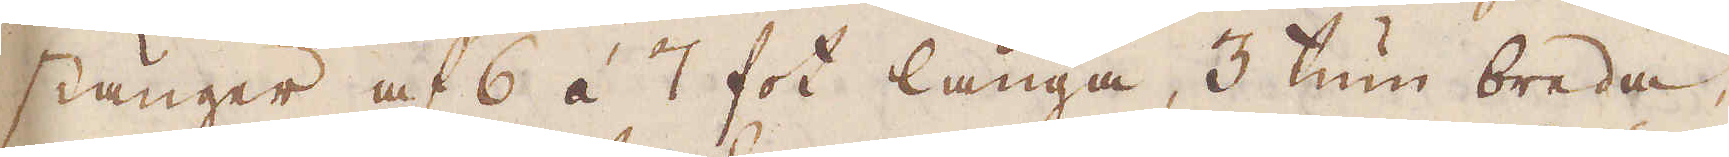stänger af 6 á 7 fot långa, 3 tum breda,
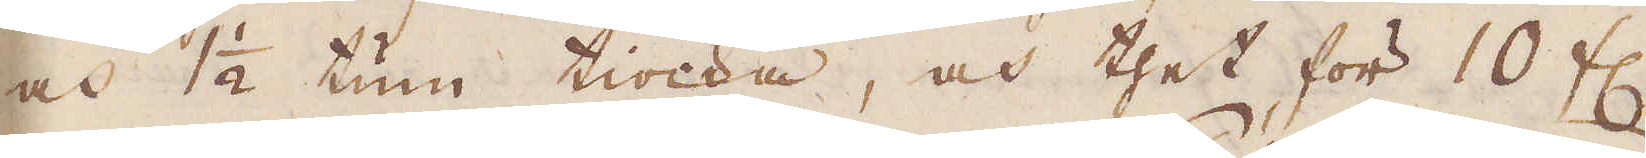och 1 1/2 tum tiocka, och thet för 10 fl.
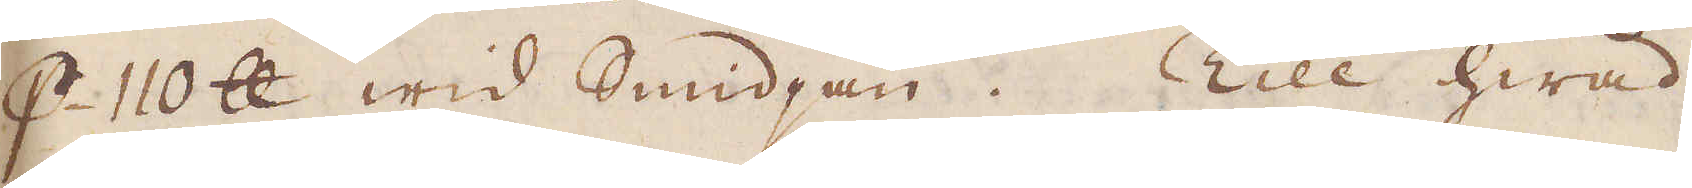p 110 skålpund wid Smidjan. Till hwad
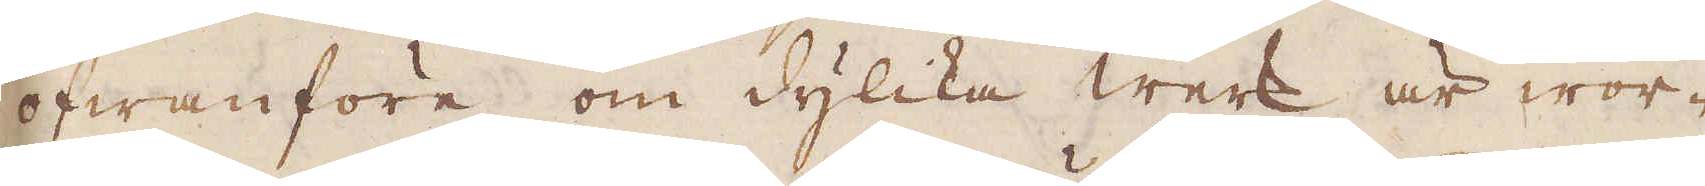ofwanföre om dylika werk är wor-
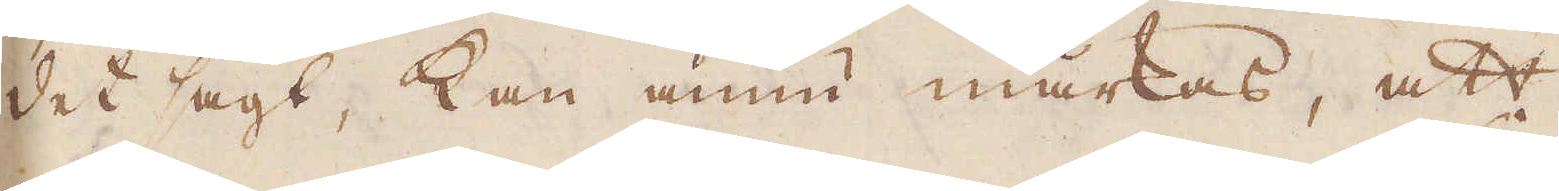det sagt, kan ännu märkas, att
